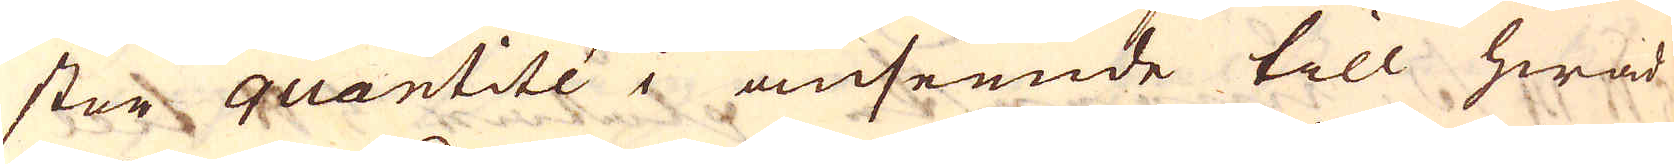stor quantité i anseende till hwad
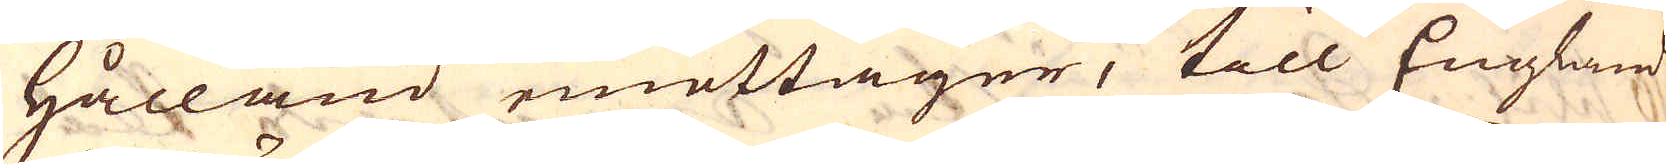Hålland emottager, till England
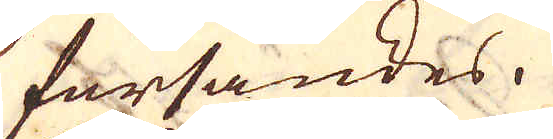försändes.
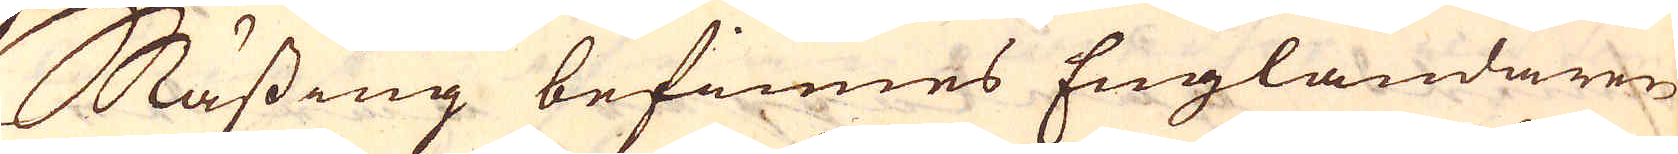Mässing befinnes Engländaren
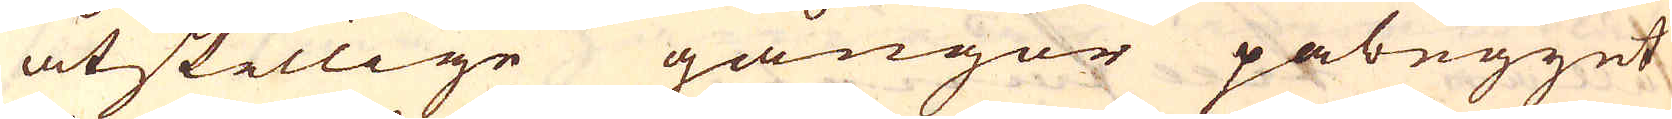åtstillige gångor påbegynt
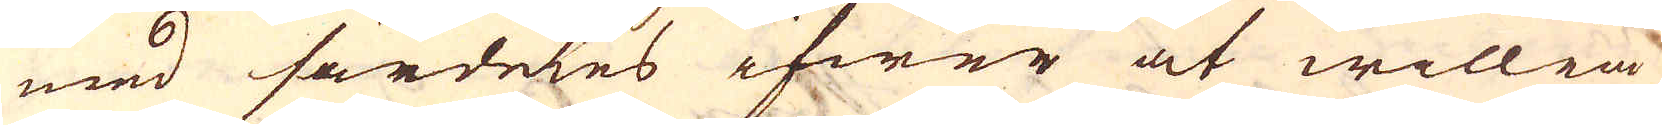med särdeles ifwer at willia
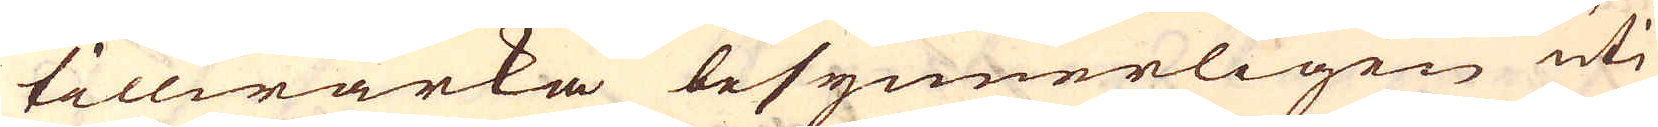tillwärka besynnerligen uti
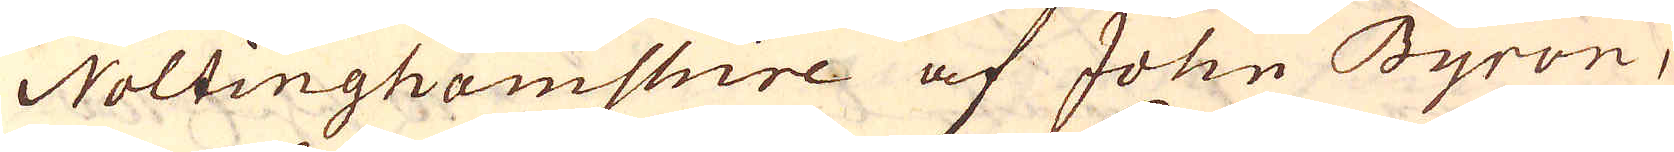Nottinghamshire af John Byron,
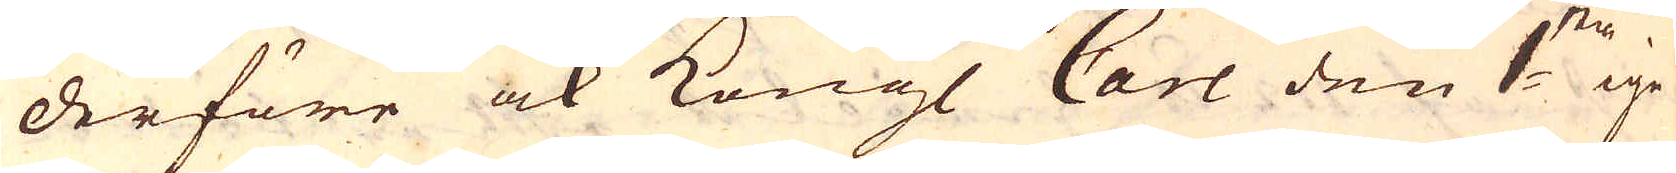derföre ock Kongl Carl den 1:sta ige-
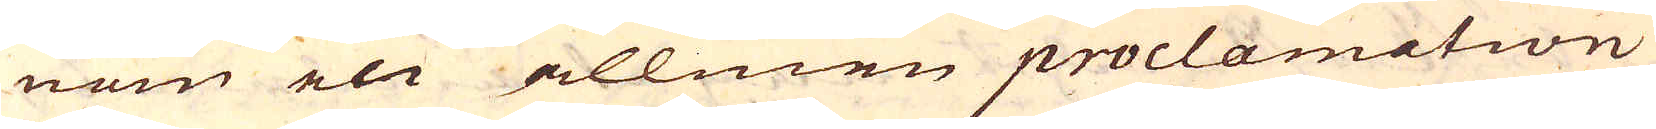nom en allmen proclamation
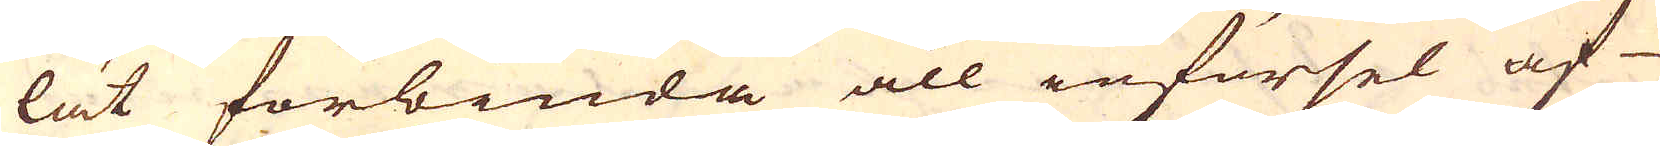lät förbiuda all införsel af
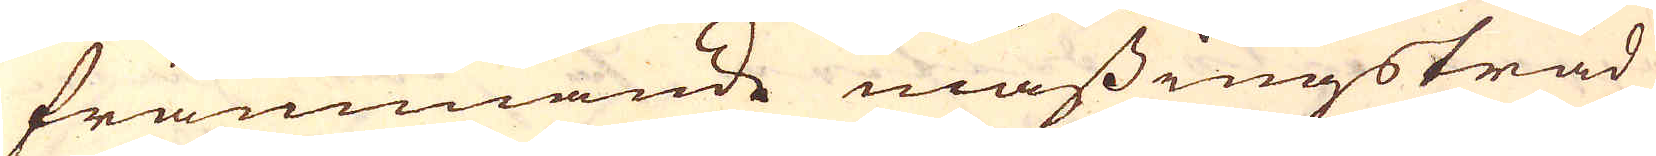främmande mässingstråd
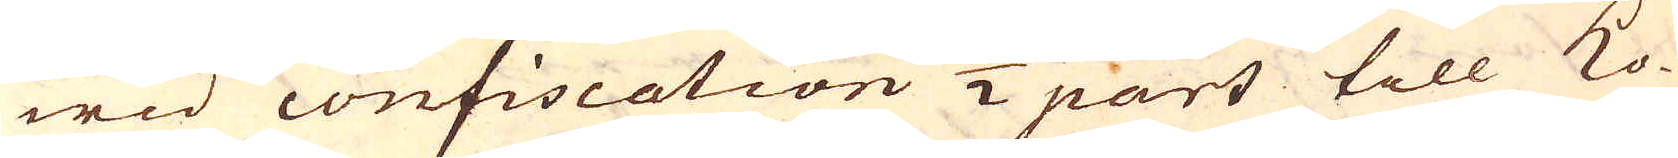wid confiscation 1/2 part till Ko-
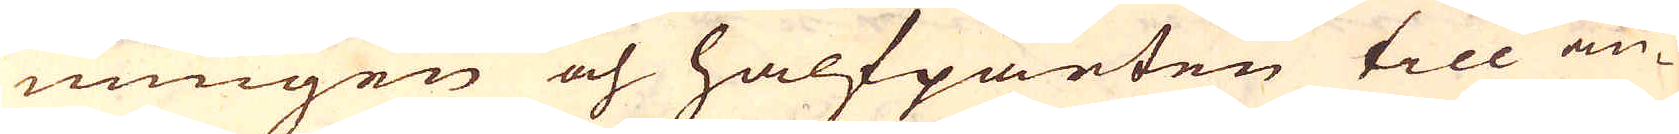nungen och halfparten till an-
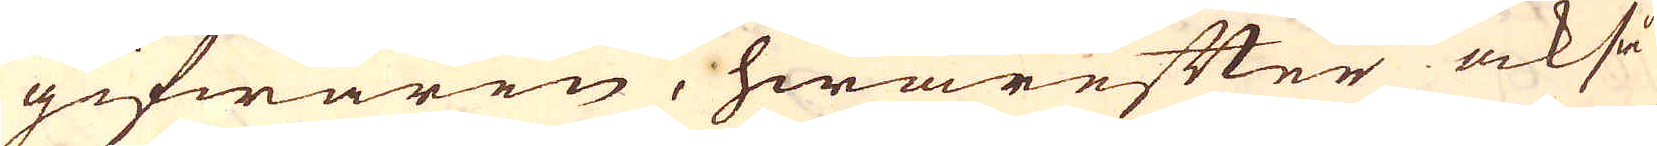gifwaren, hwarefter också
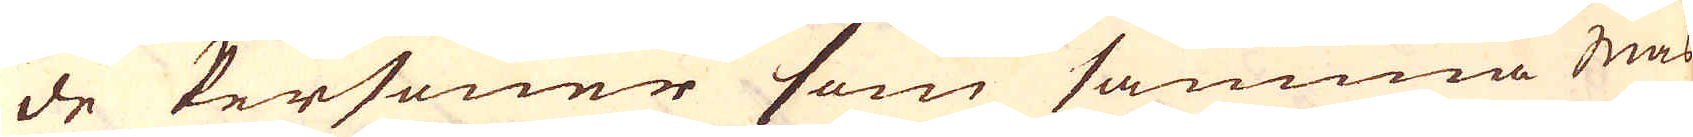de Personer som samma mäs-
